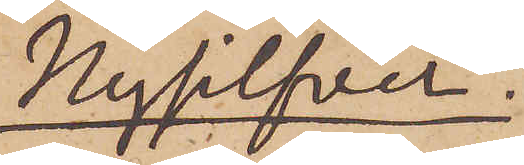Nysilfver.
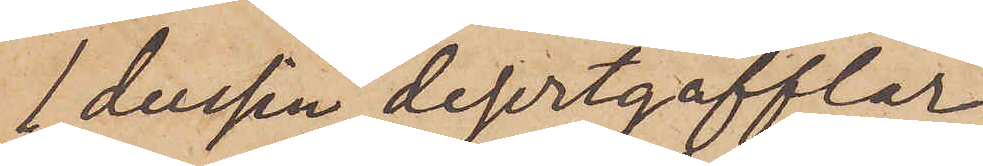1 dussin desertgafflar
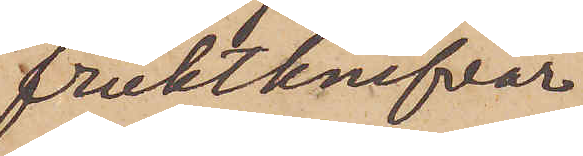fruktknifvar.
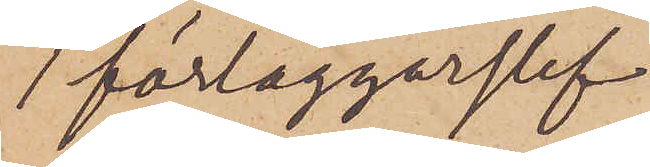1 förläggarslef
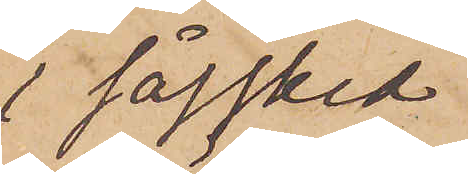1 såssked
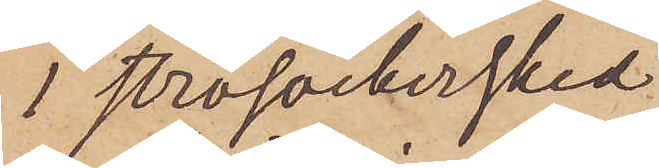1 strösockersked
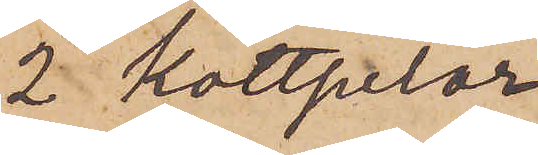2 köttpilar
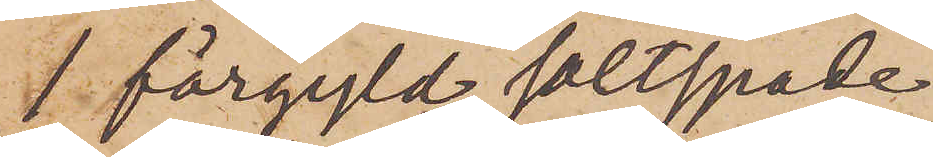1 förgyld saltspade
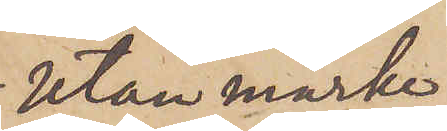utan märke
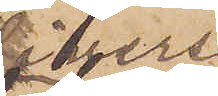Diverse
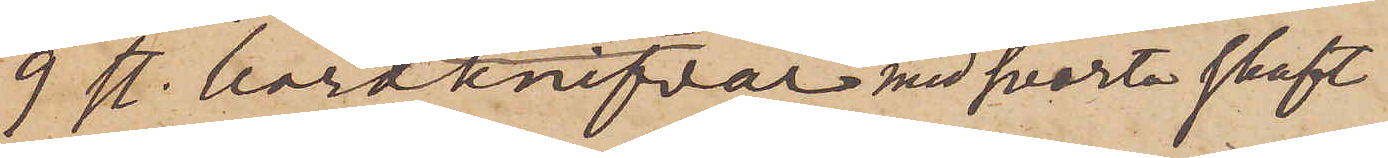9 st. bordknifvar med svarta skaft
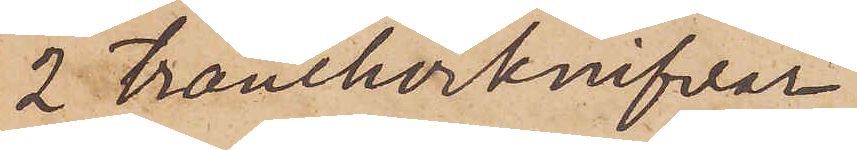2 trancherknifvar
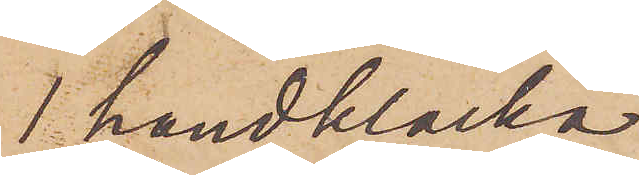1 handklocka
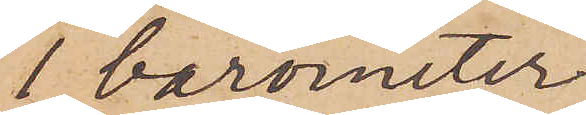1 barometer
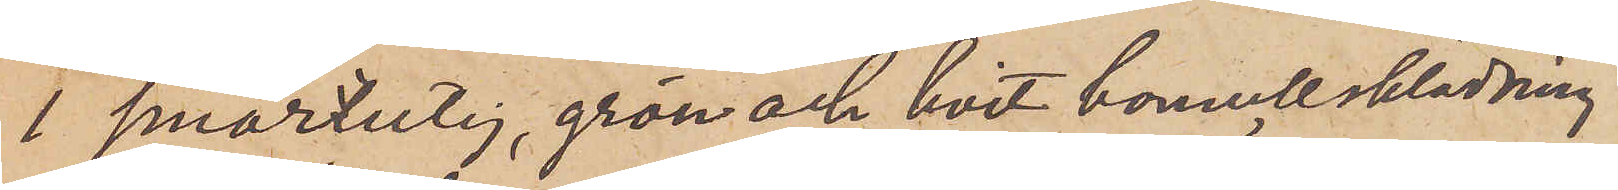1 smårutig, grön och hvit bomullsklädning
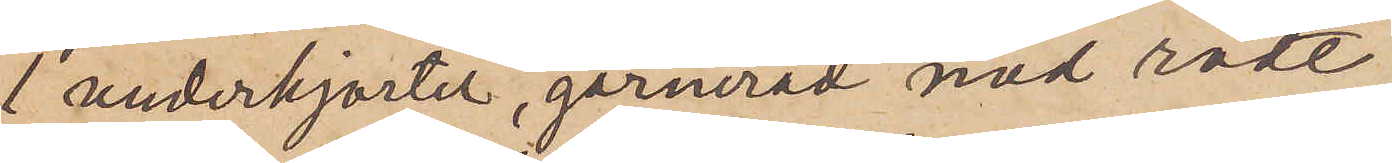1 underkjortel, garnerad med rödt
